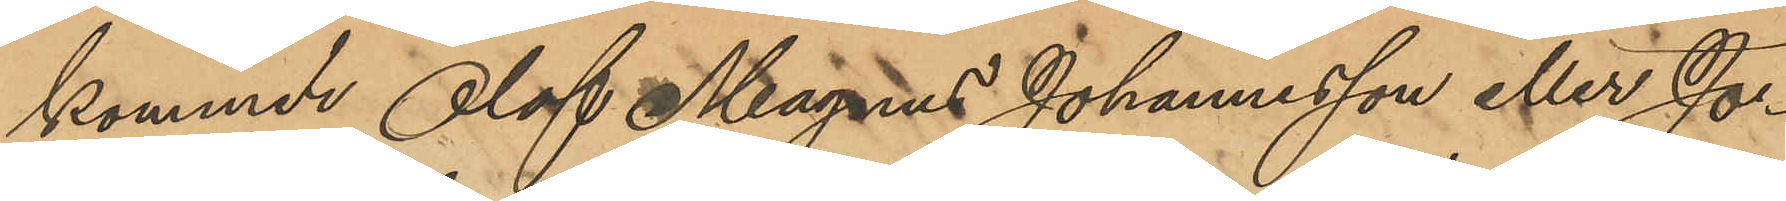kommer Olof Magnus Johannesson eller Jo¬
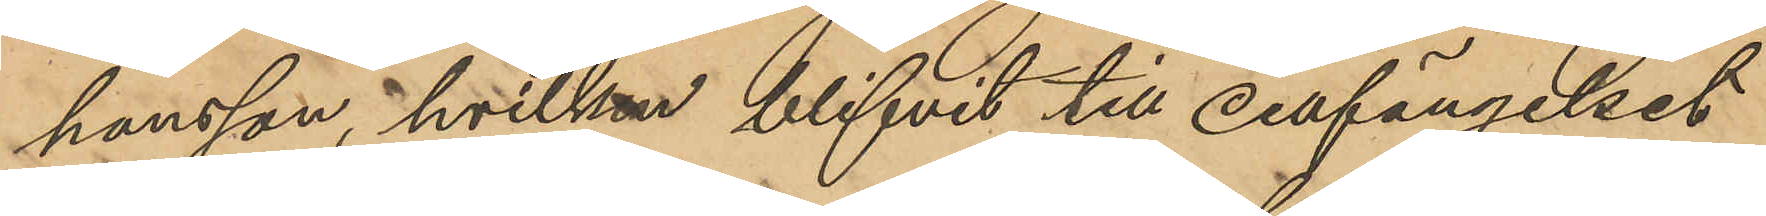hansson, hvilken blifvit till cellfängelset
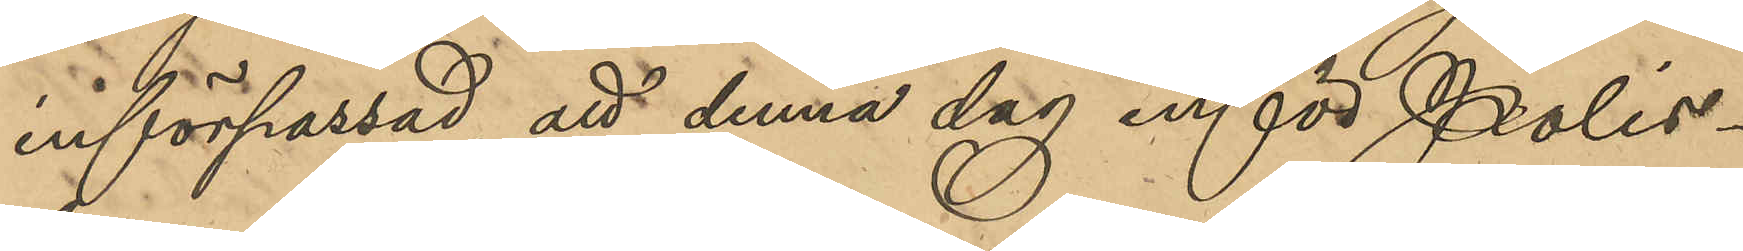införpassad, att denna dag inför Polis¬
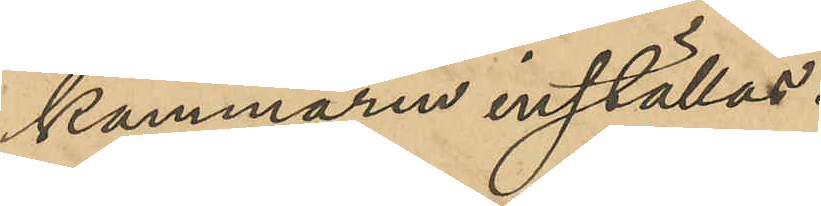kammaren inställas.
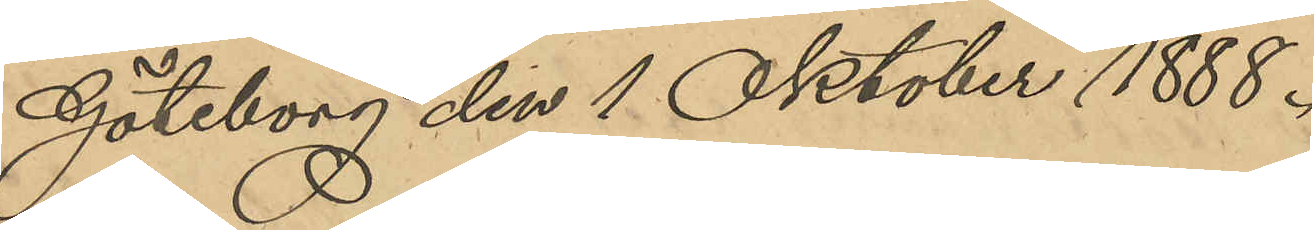Göteborg den 1 Oktober 1888.
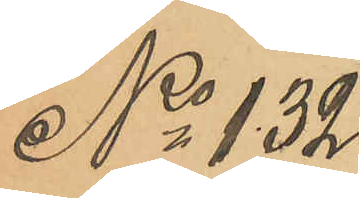No 132
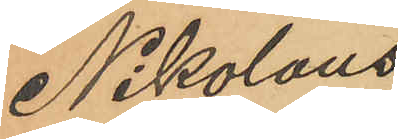Nikolaus
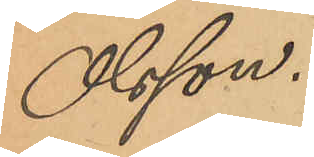Olsson.
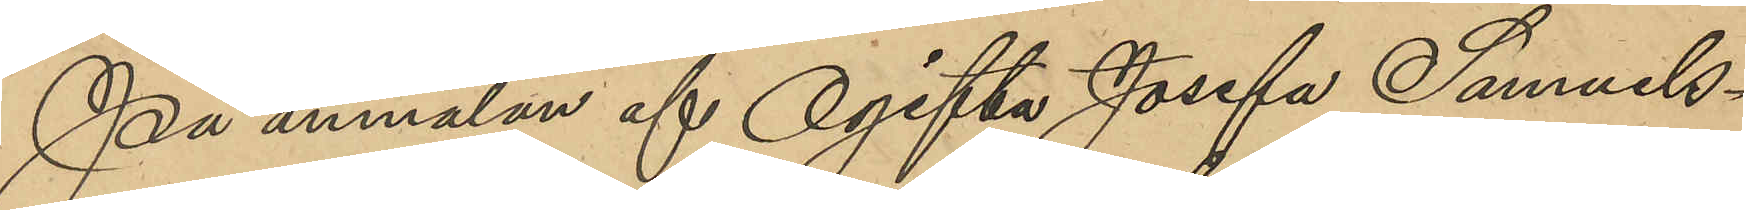På anmälan af Ogifta Josefa Samuels¬
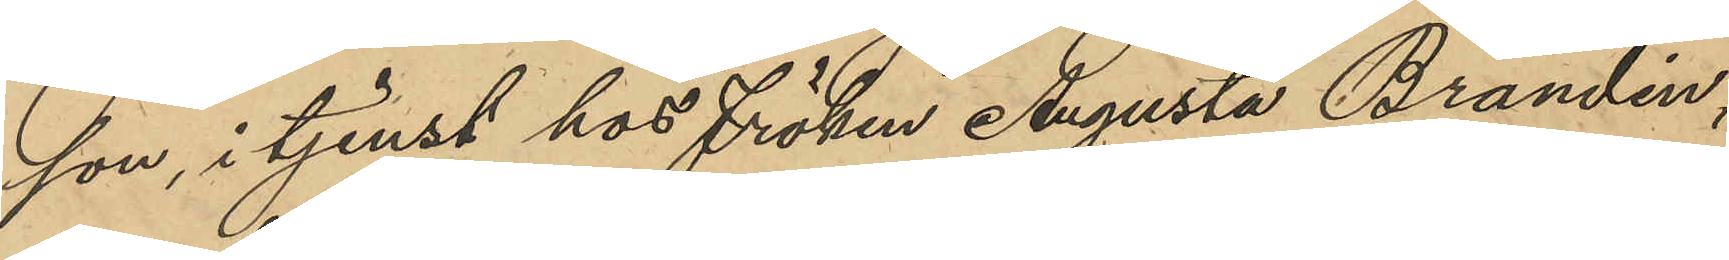son, i tjenst hos Fröken Augusta Brandin,
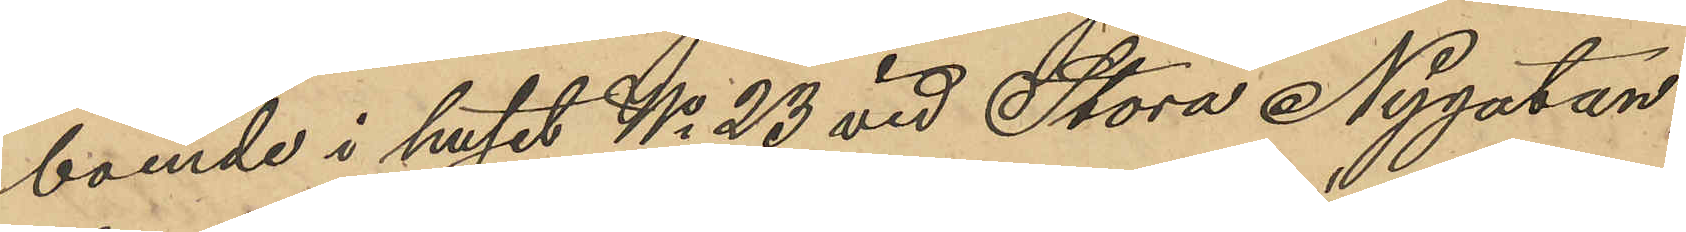boende i huset No 23 vid Stora Nygatan,
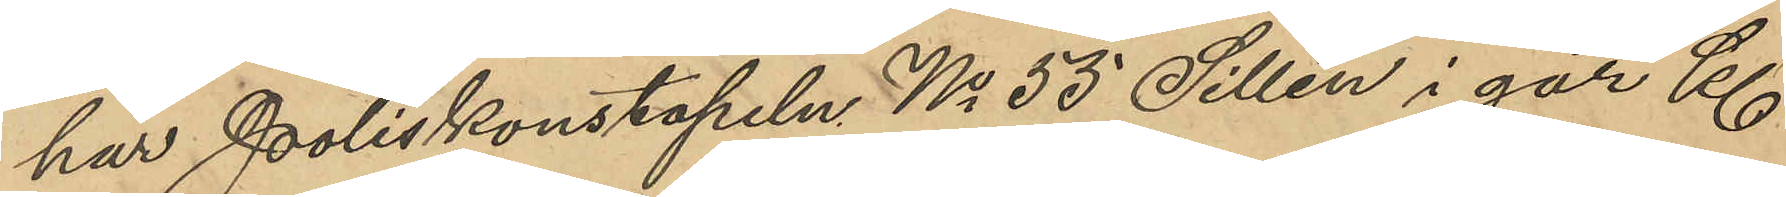har Poliskonstapeln No 53 Sillén i går Kl
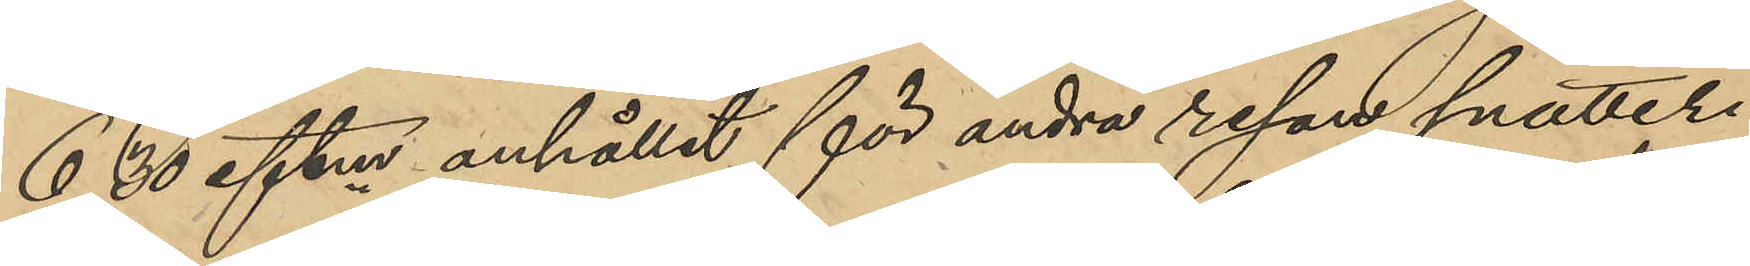6,30 eftm anhållit för andra resan snatteri
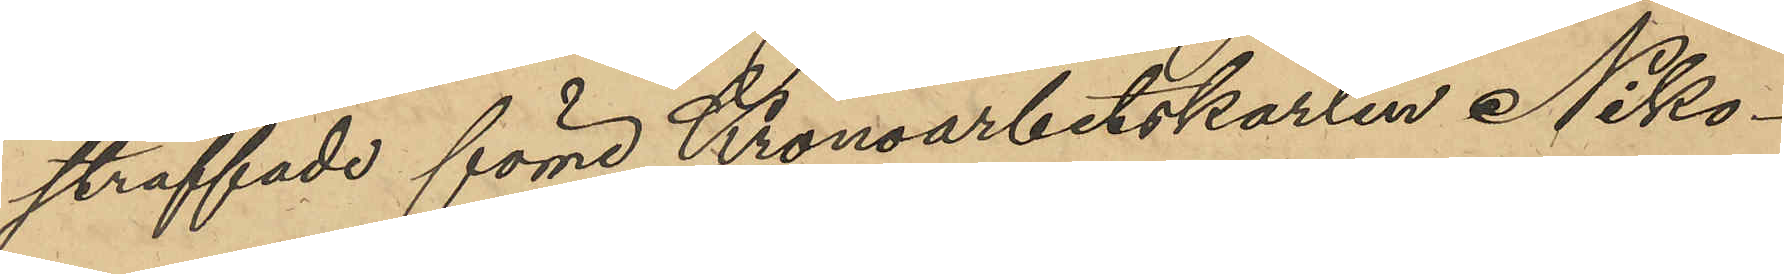straffade förre Kronoarbetskarlen Niko¬
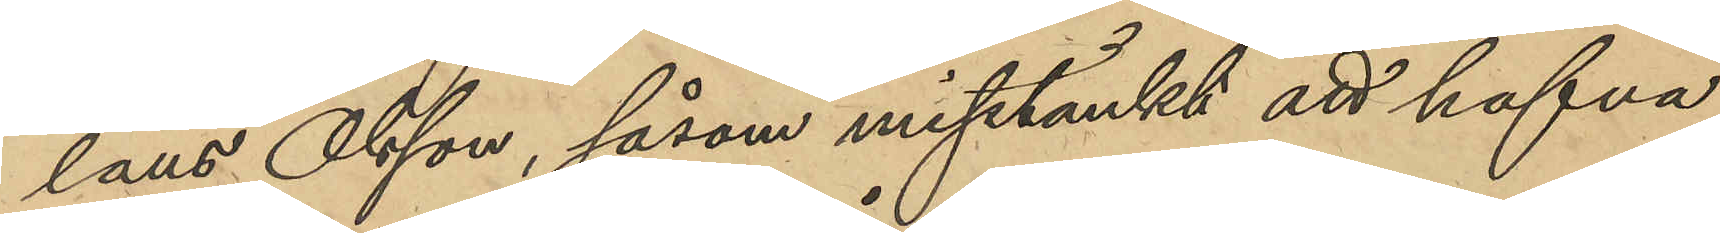laus Olsson, såsom misstänkt att hafva
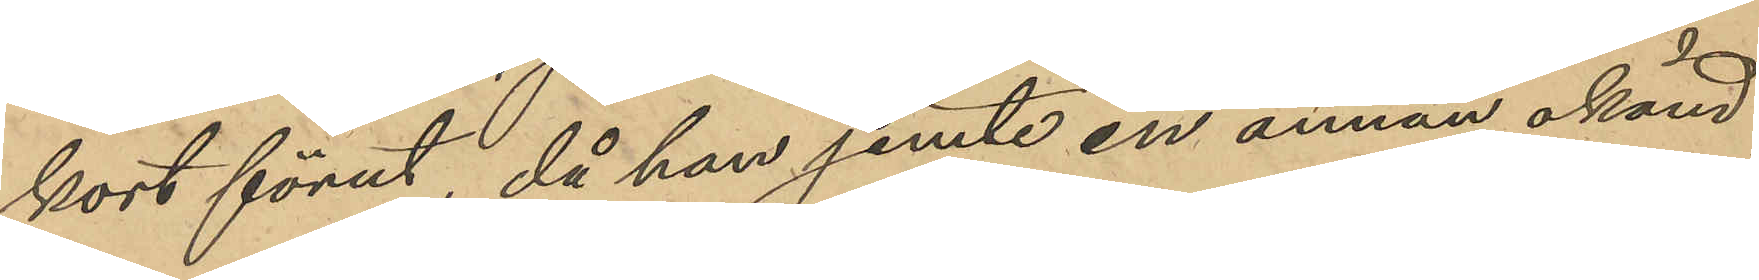kort förut, då han jemte en annan okänd
